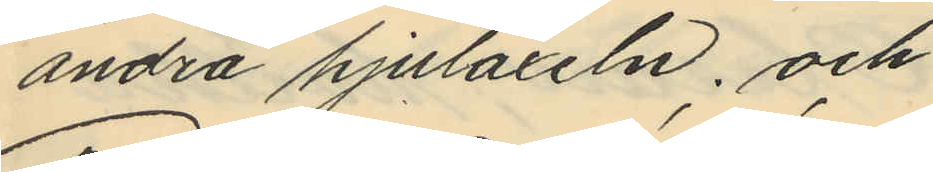andra hjulaxeln; och
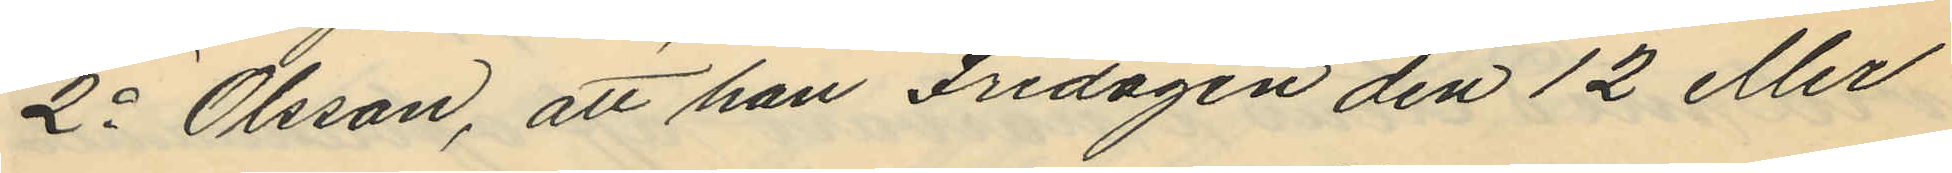2o Olsson, att han Fredagen den 12 eller
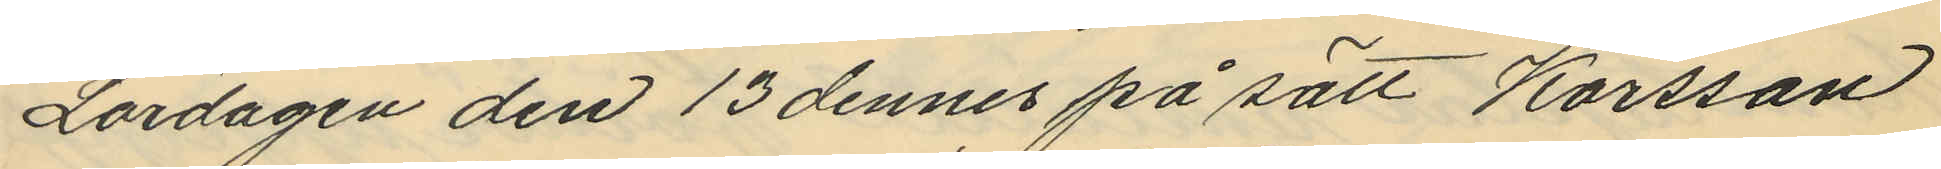Lördagen den 13 dennes på sätt Karsson
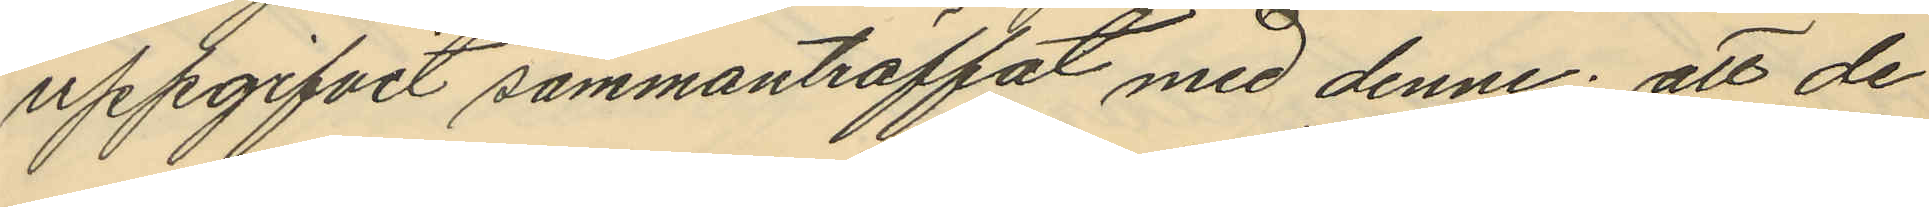uppgifvit sammanträffat med denne; att de
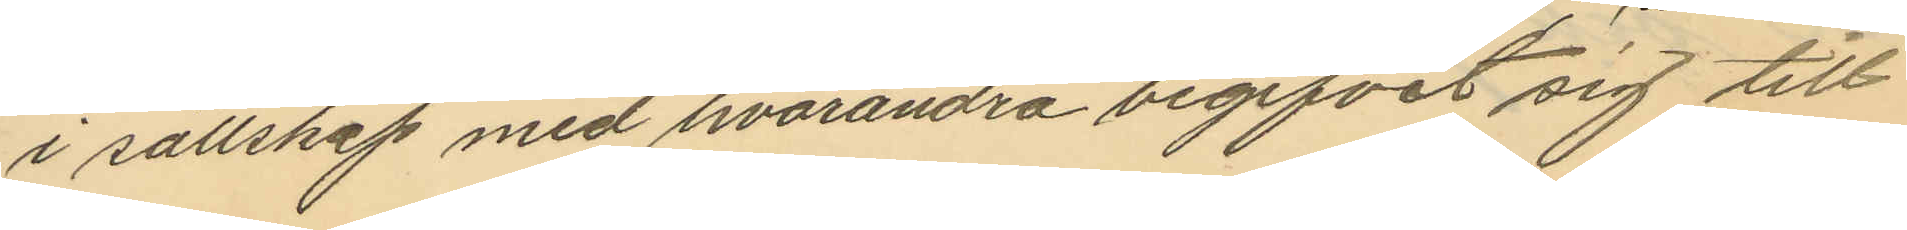i sällskap med hvarandra begifvit sig till
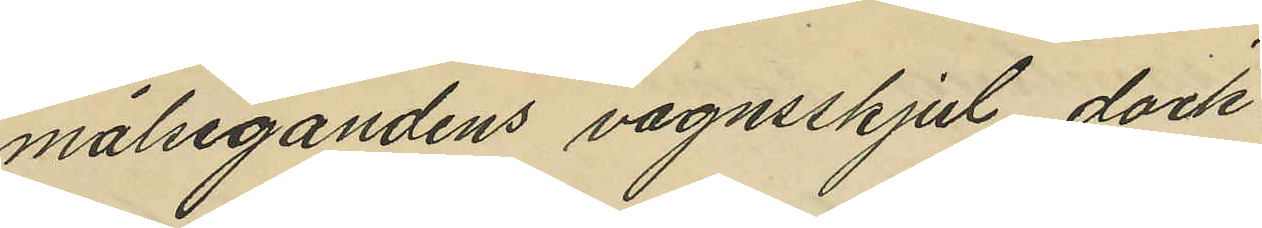målsegandens vagnsskjul, dock
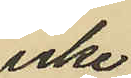icke
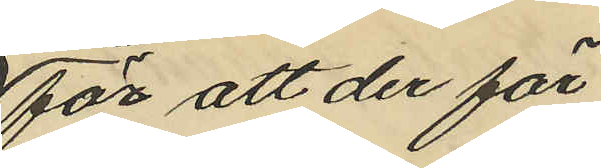för att der för¬
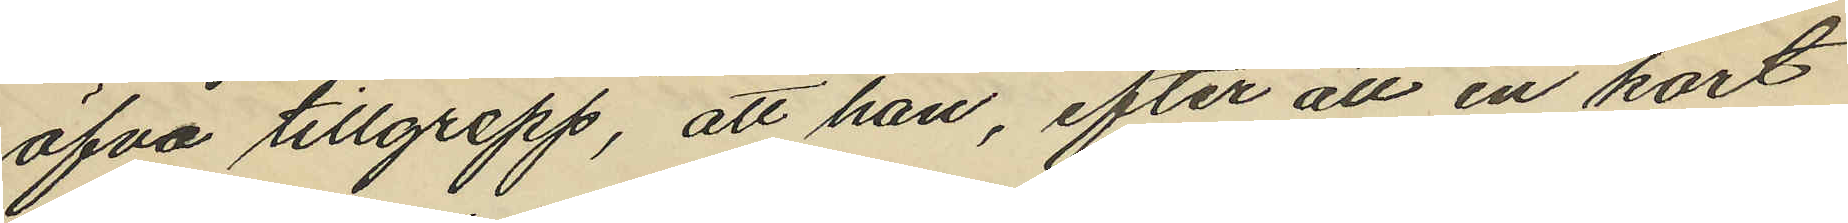öfva tillgrepp, att han, efter att en kort
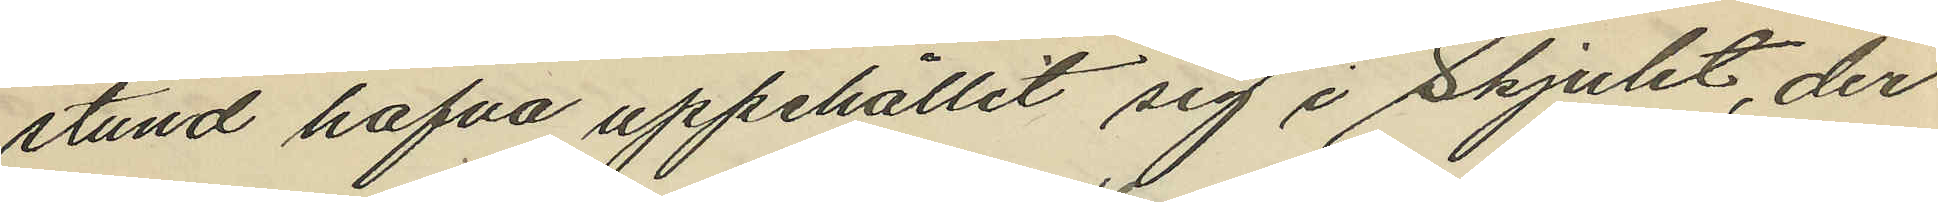stund hafva uppehållit sig i skjulet, der
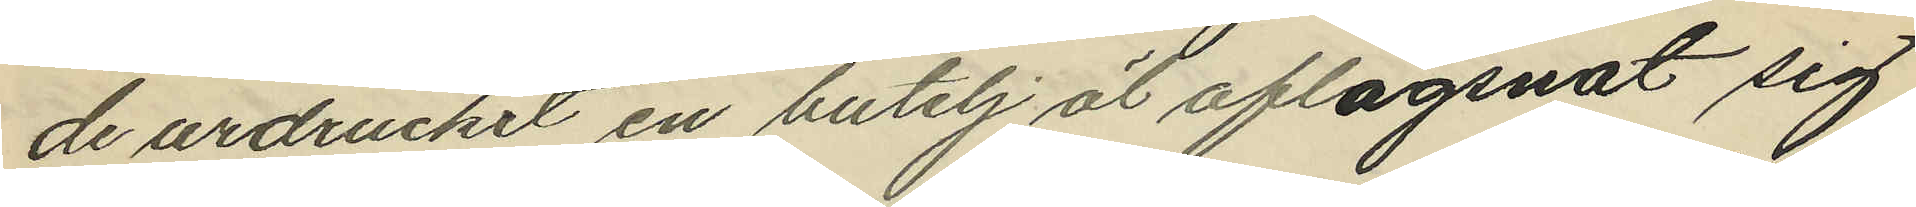de urdruckit en butelj öl aflägsnat sig
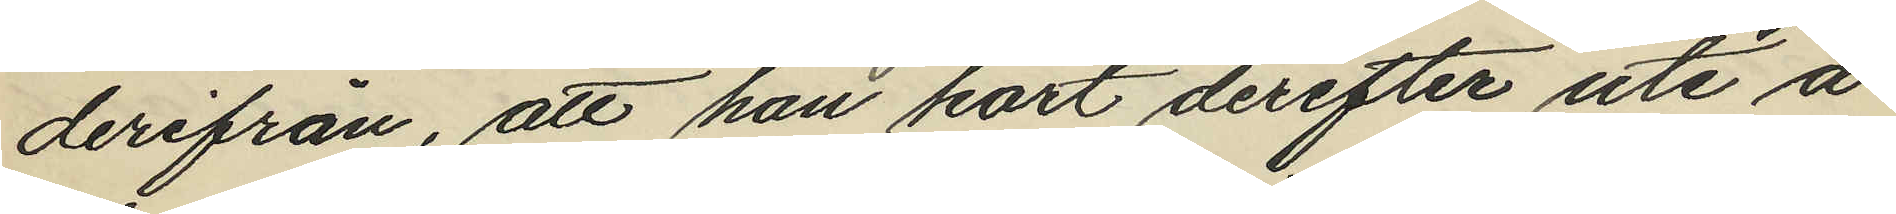derifrån, att han kort derefter uti å
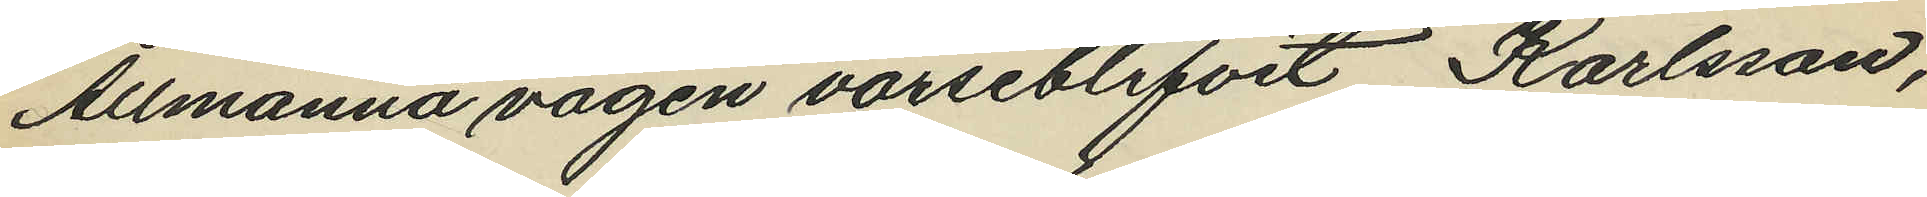Allmänna vägen varseblifvit Karlsson,
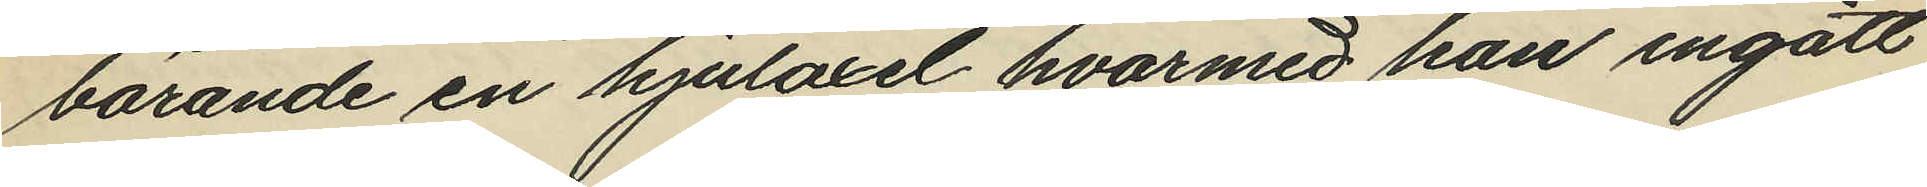bärande en hjulaxel hvarmed han ingått
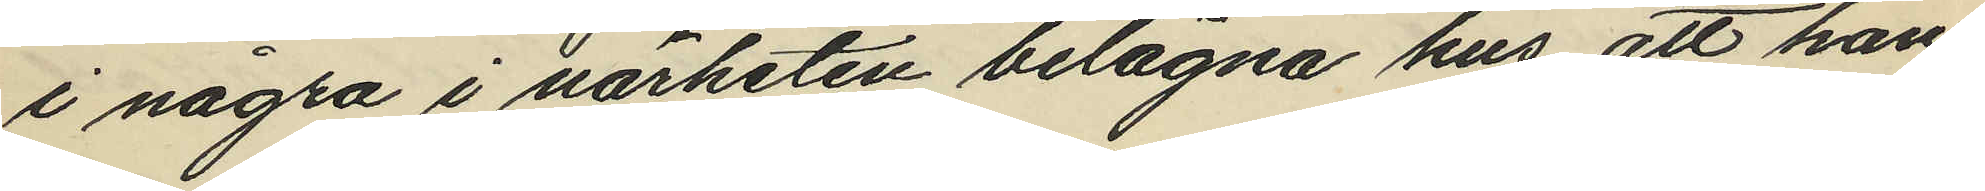i några i närheten belägna hus, att han
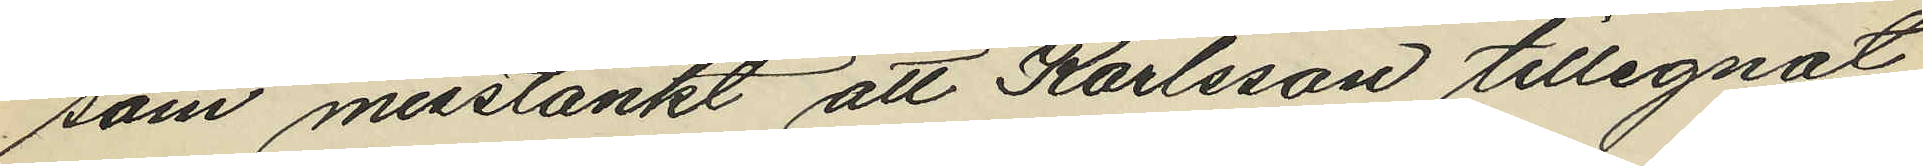som misstänkt att Karlsson tillegnat
